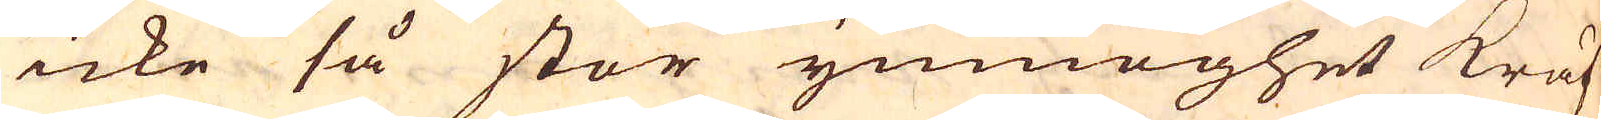icke så stor ymnoghet kräf-
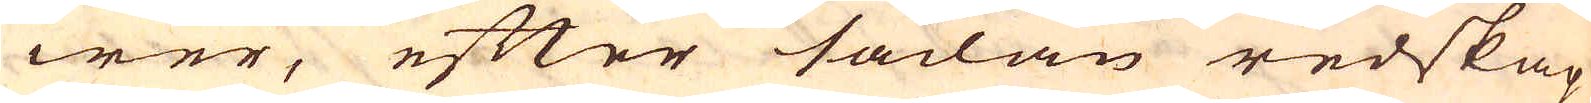wer, efter sådan redskap
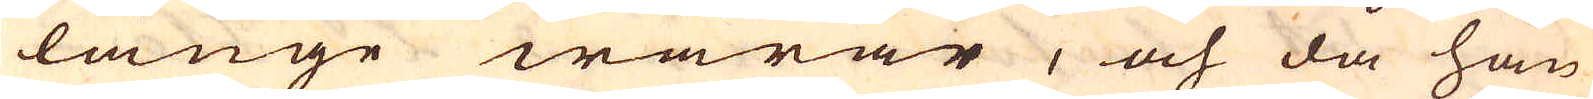länge warar, och då han
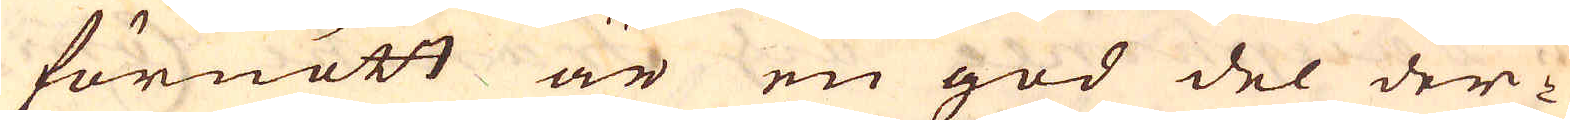förnött är en god del der-
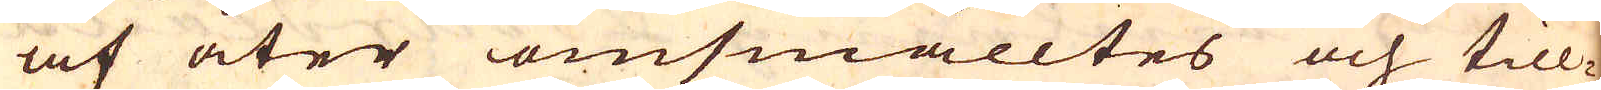af åter omsmälltes och till-
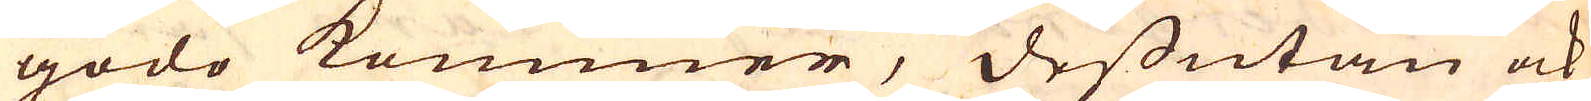godo kommer, dessutan ock
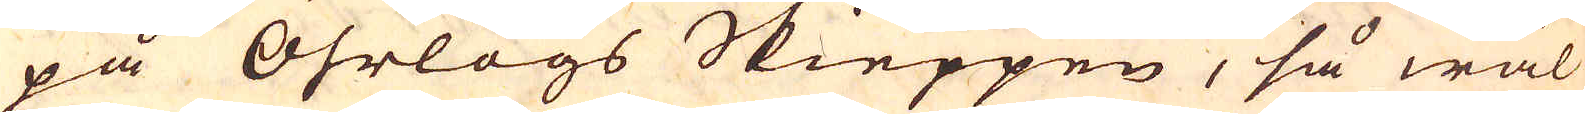på Öhrlogs Skieppen, så wäl
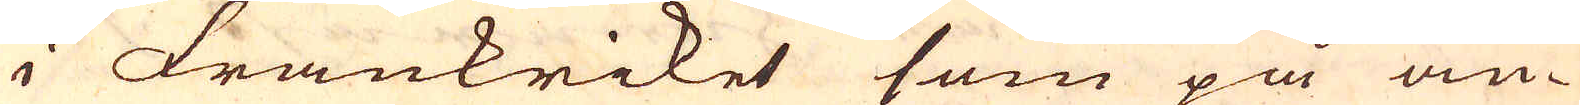i Frankriket som på an-
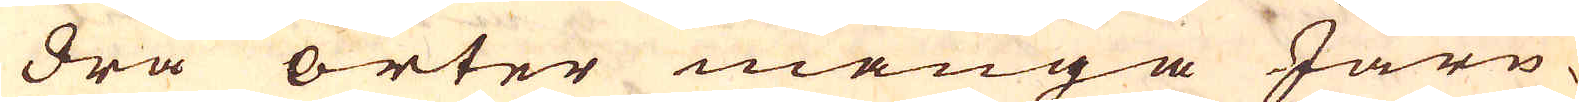dra orter många Järn-
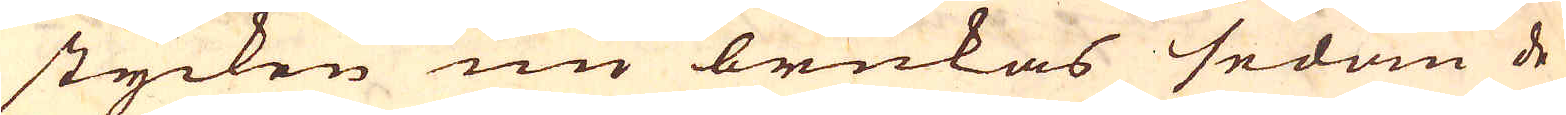stycken nu brukas sedan de
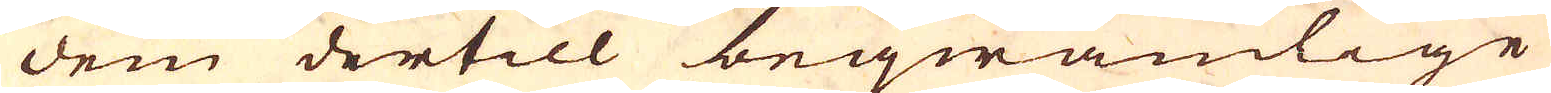dem dertill beqwämlige
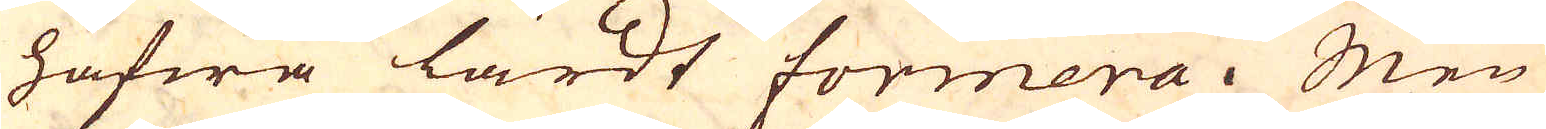hafwa lärdt formera. Men
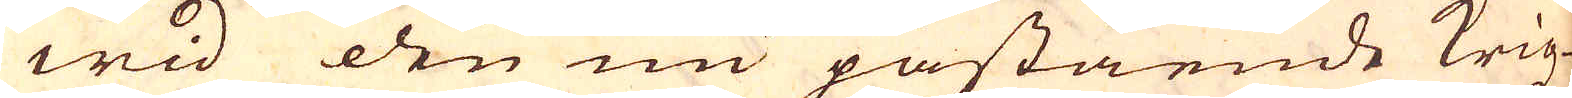wid den nu påstående krigz-
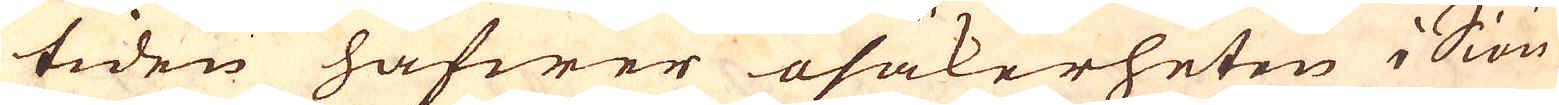tiden hafwer osäkerheten i Siön
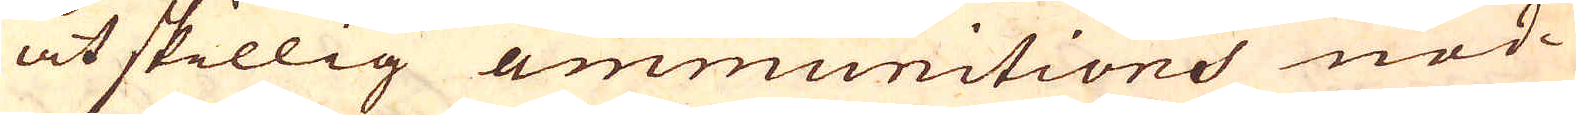åtskillig ammunitions nöd-
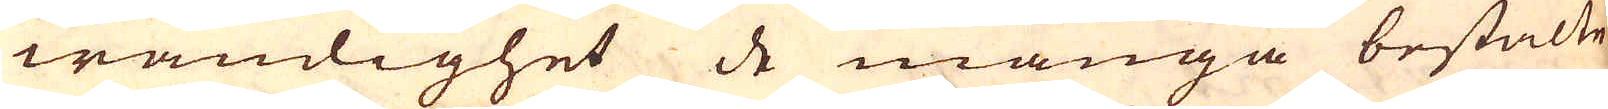wändighet de många bestälte
